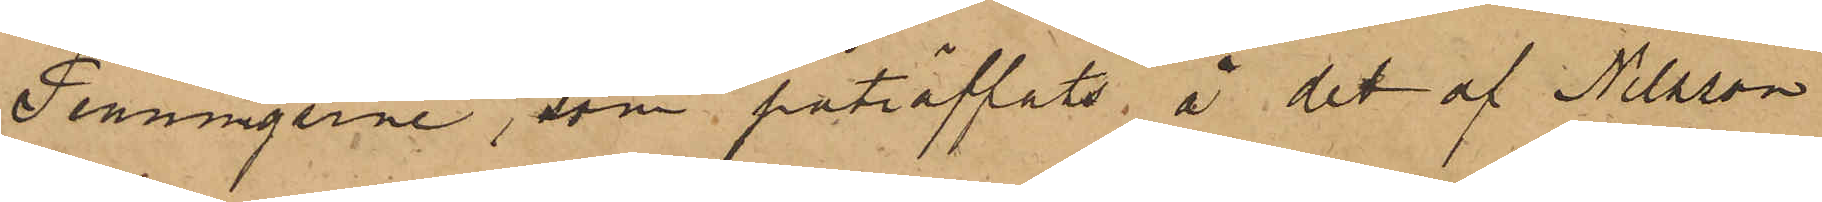Penningarne, som påträffats å det af Nilsson
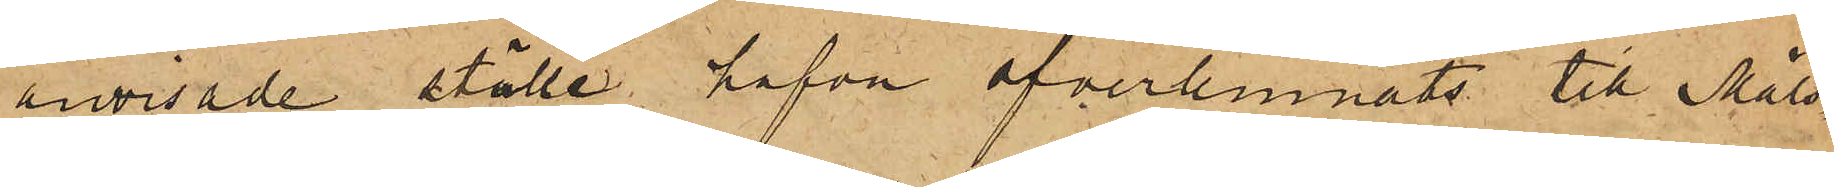anvisade ställe hafva öfverlemnats till Måls¬
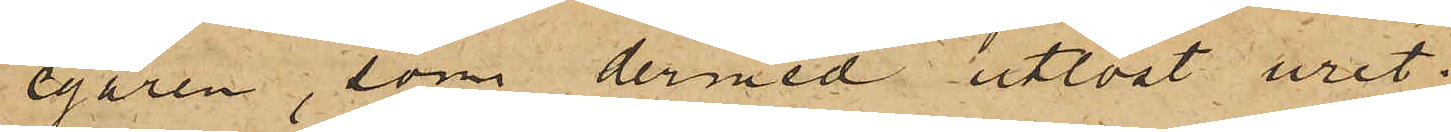egaren, som dermed utlöst uret.
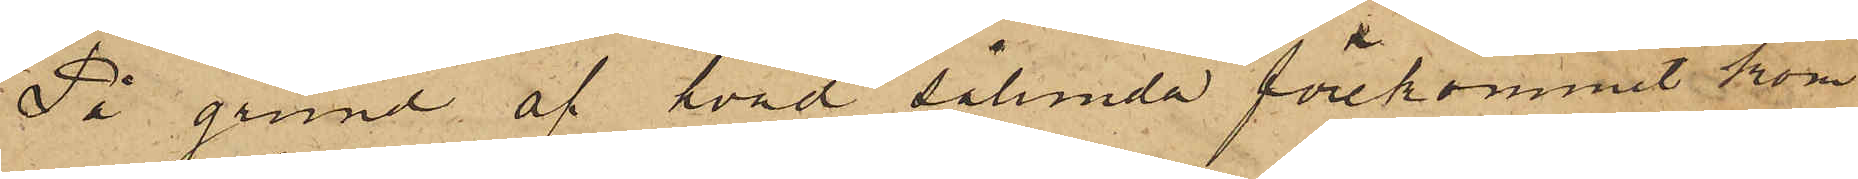På grund af hvad sålunda förekommit kom¬
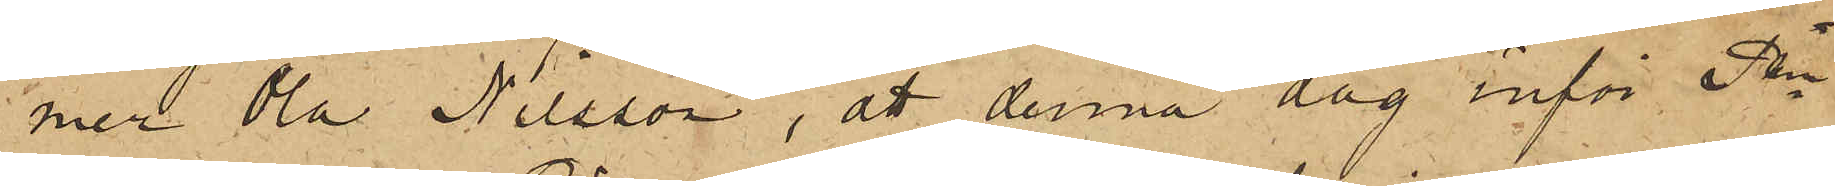mer Ola Nilsson, att denna dag inför Pkn
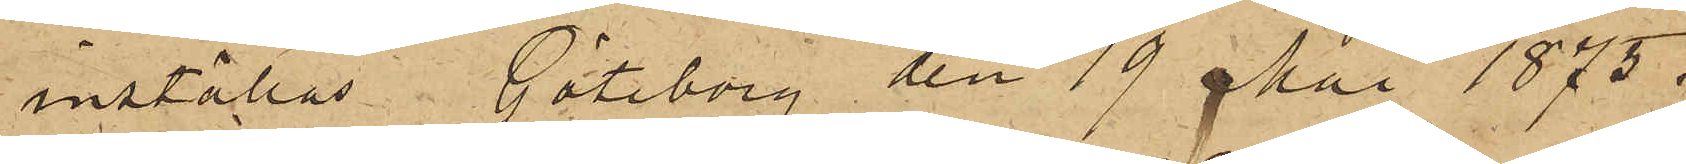inställas. Göteborg den 19 Mai 1875.
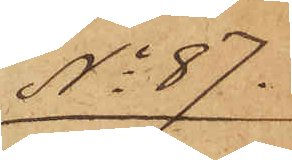No 87.
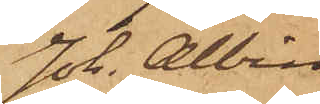Joh. Albin
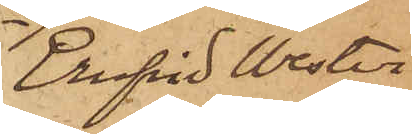Ernfrid Wester¬
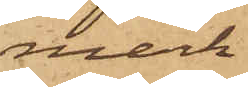mark
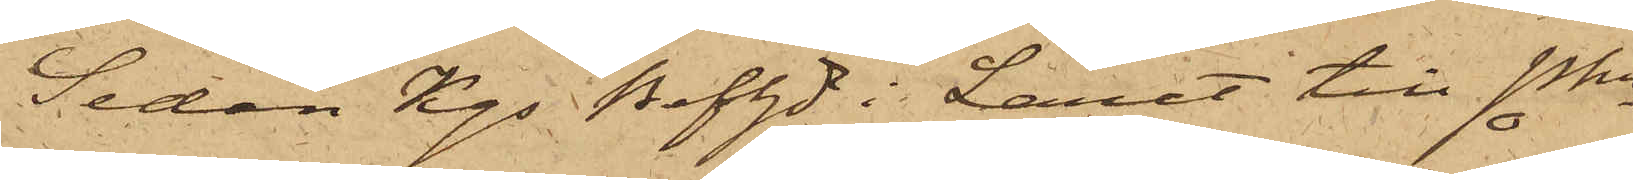Sedan Kgs Befhde i Länet till Pkn
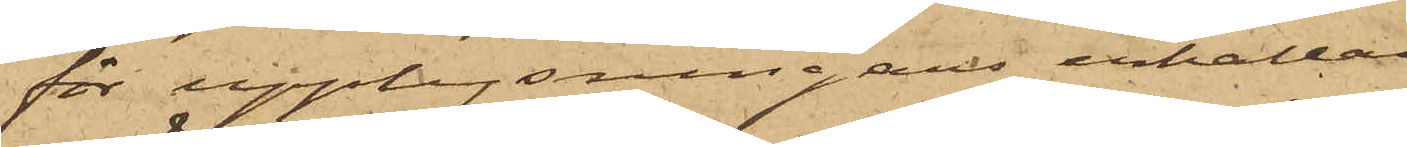för upplysningars erhållan¬
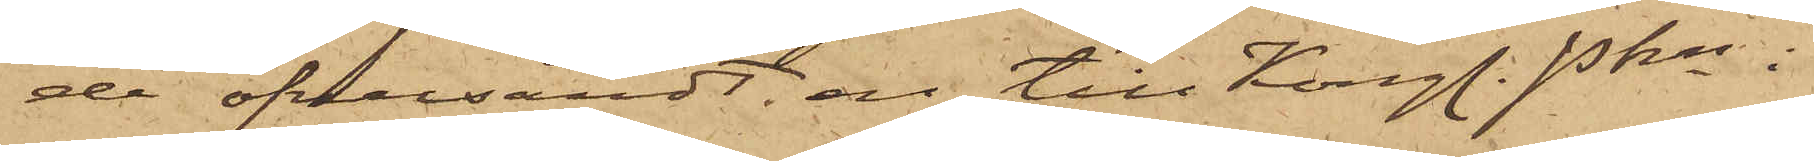de öfversändt ett till Kongl. Pkn i
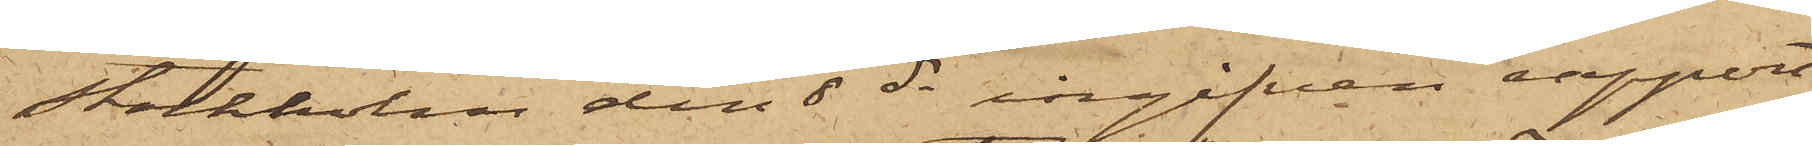Stockholm den 8 ds ingifven rapport
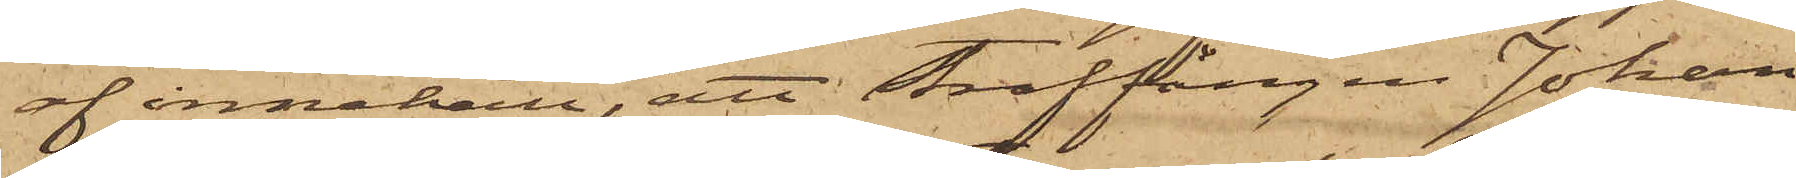af innehåll, att Straffången Johan
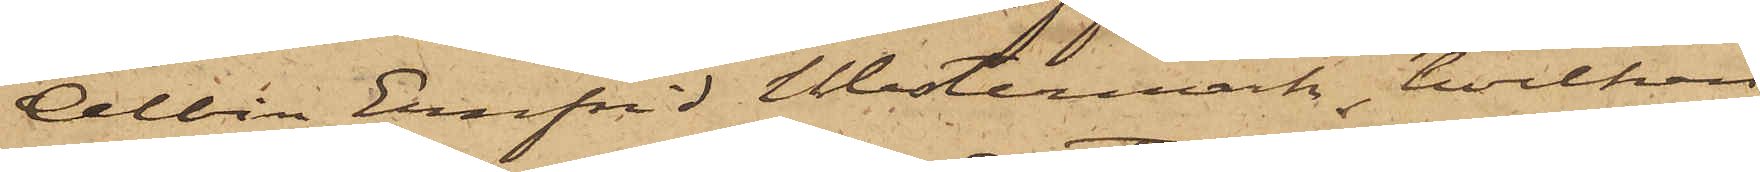Albin Ernfrid Westermark, hvilken
